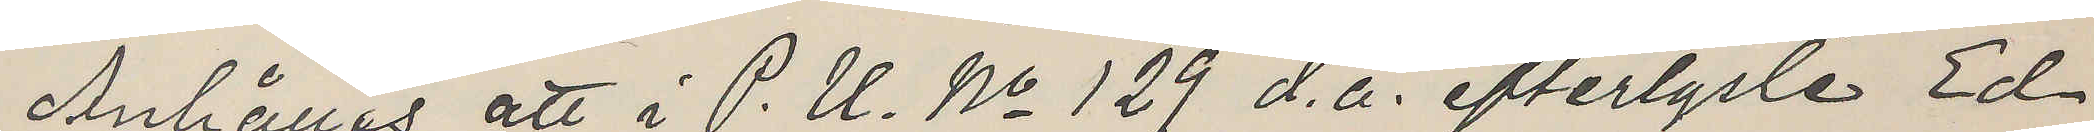Anhålles att i P. U. No 129 d. å. efterlyste Ed¬
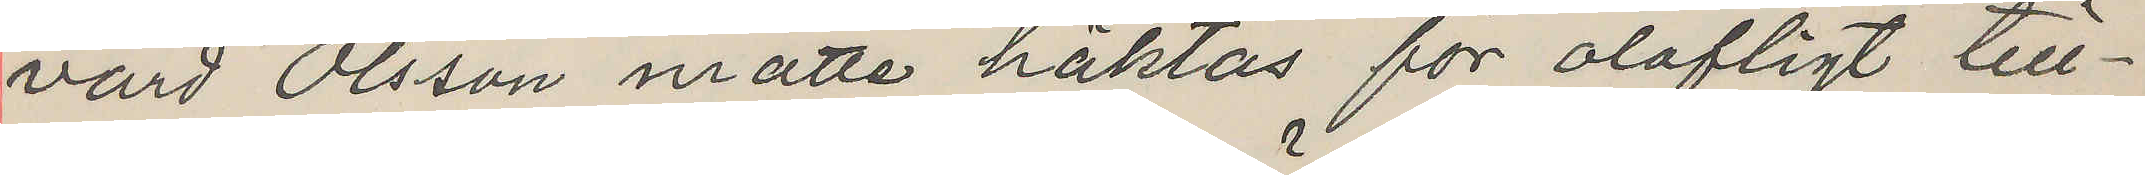vard Olsson måtte häktas för olofligt till¬
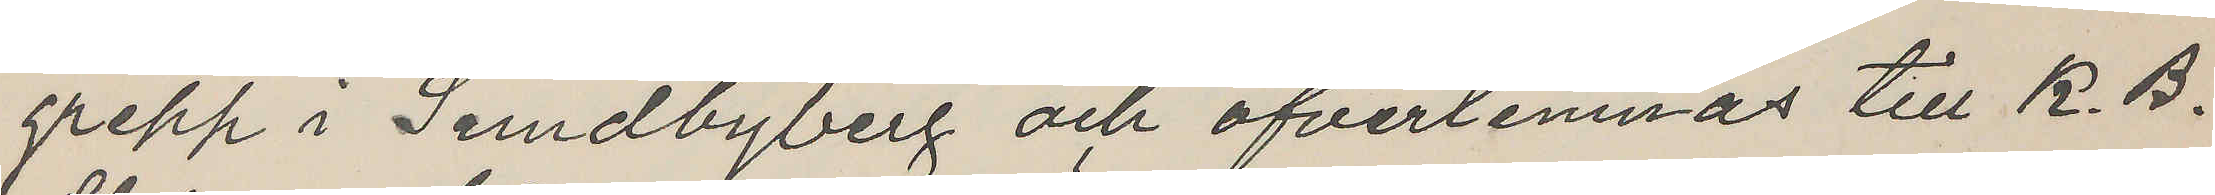grepp i Sundbyberg och öfverlemnas till K. B.
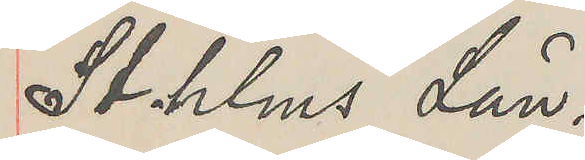Sthlms Län.
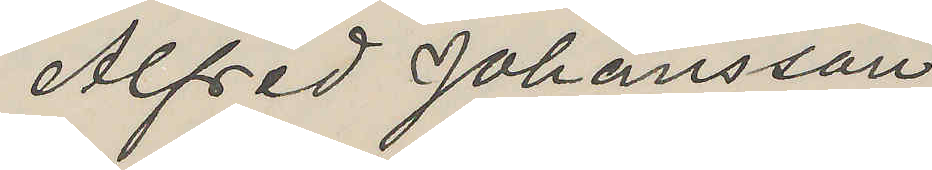Alfred Johansson
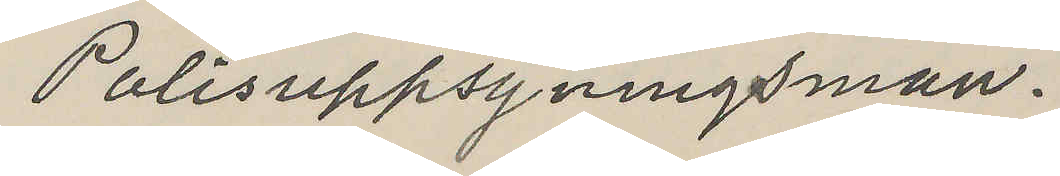Polisuppsyningsman.
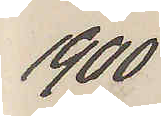1900
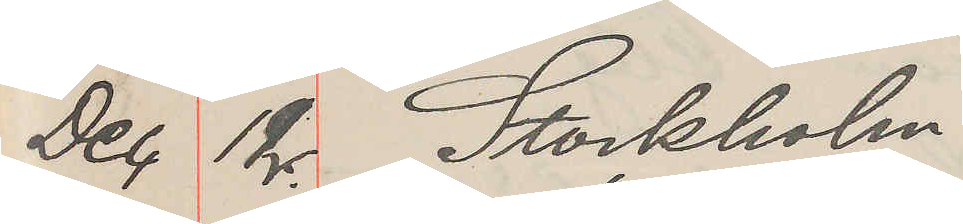Dec. 12 Stockholm
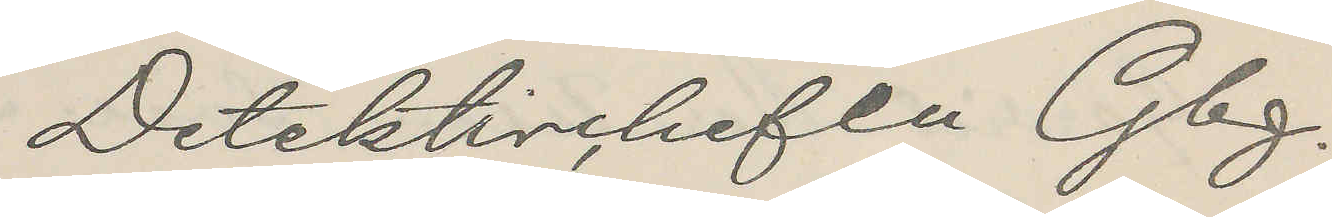Detektivchefen Gbg.
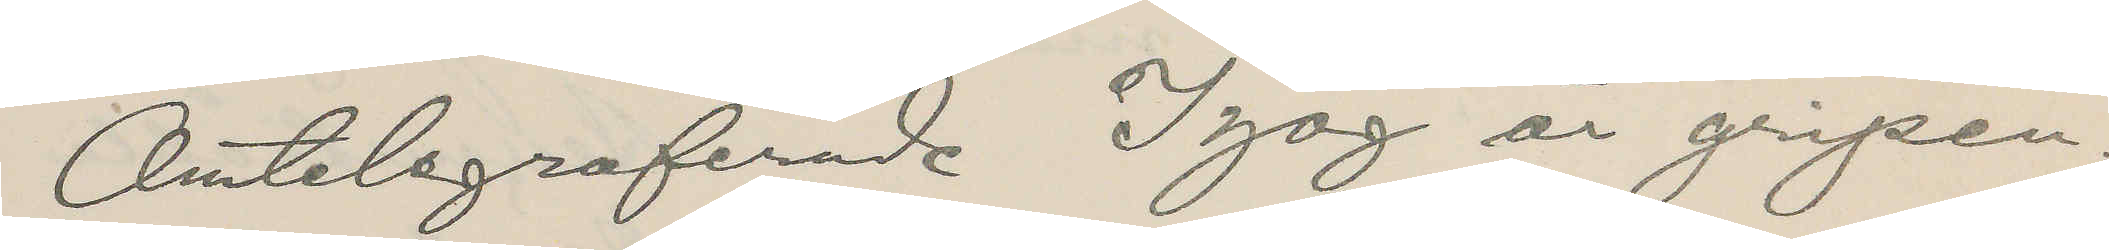Omtelegraferade Izog är gripen.
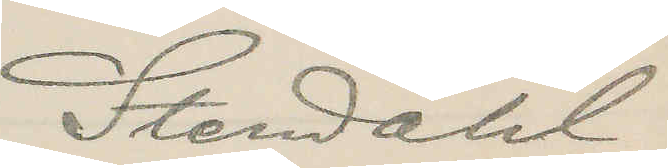Stendahl.
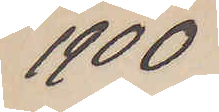1900
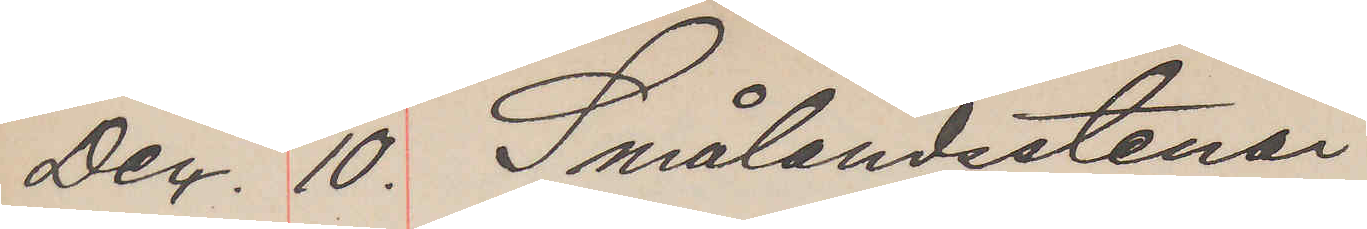Dec. 10. Smålandsstenar
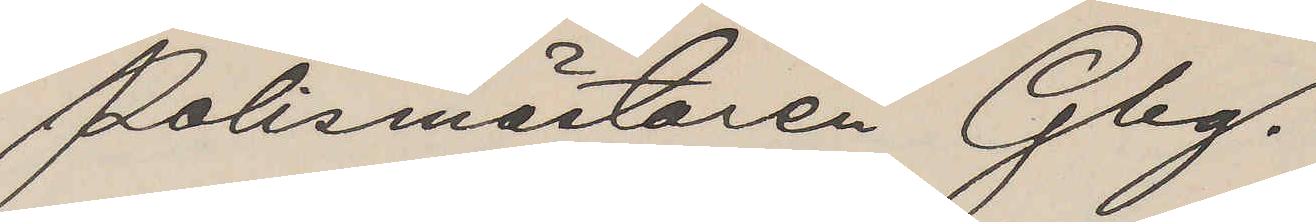Polismästaren Gbg.
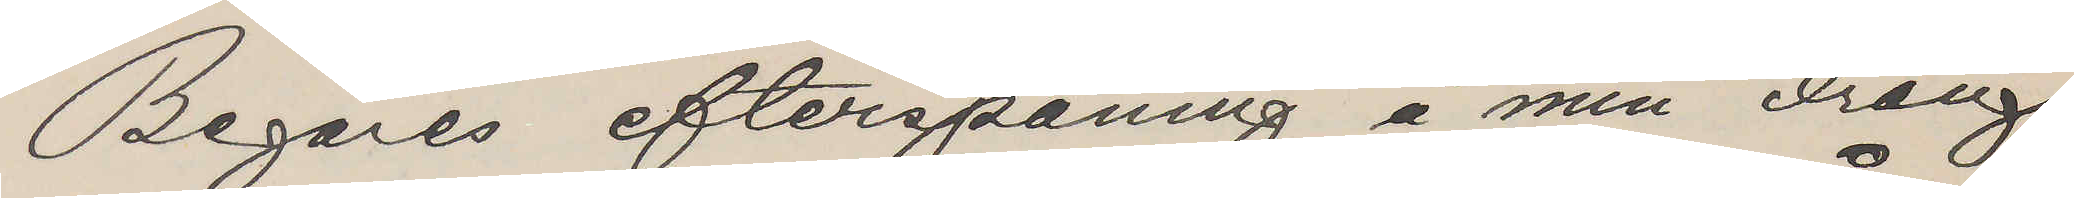Begäres efterspaning å min dräng
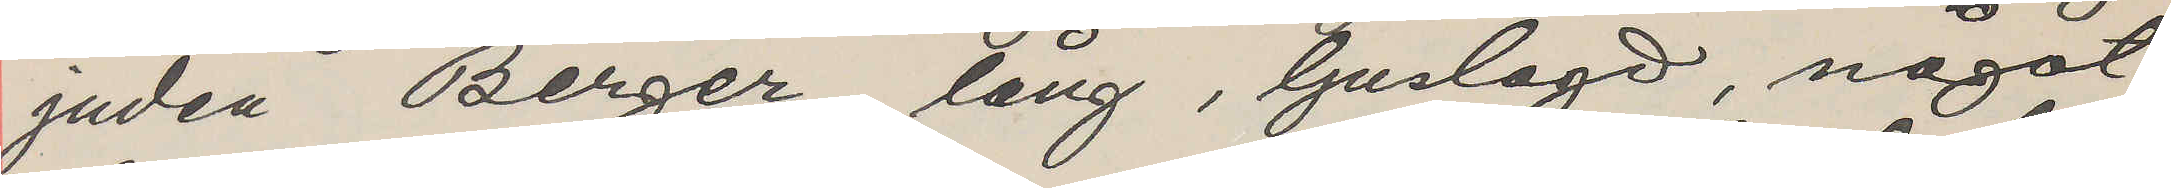juden Berger, lång, ljuslagd, något
